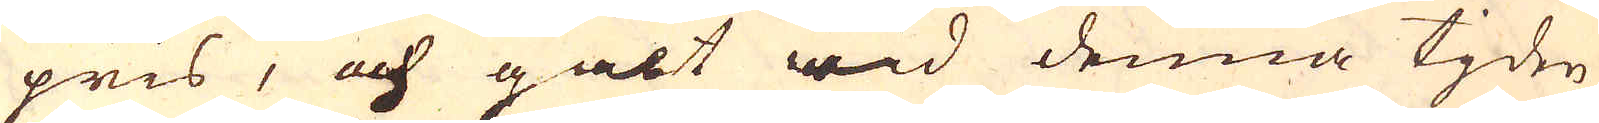pris, och galt wid denna tjden
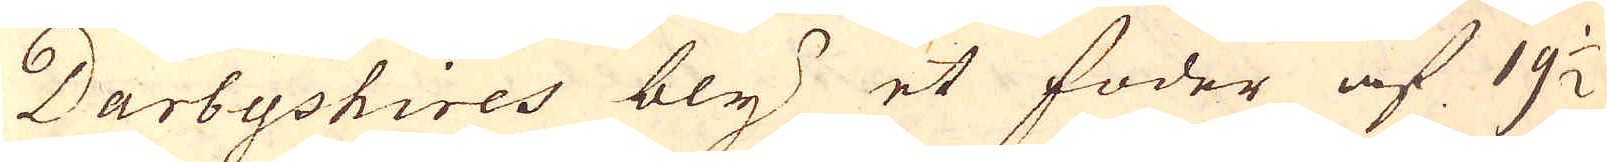Darbyshires bly et foder af 19 1/2
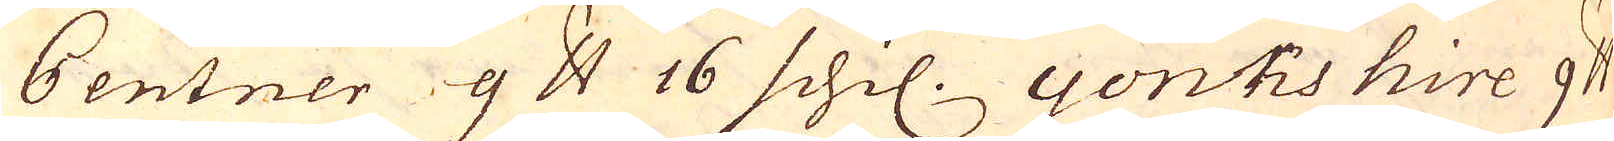Centner 9 skålpund 16 schil. yorkshire 9 skålpund
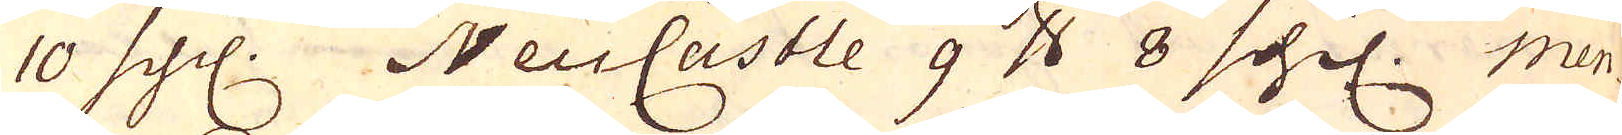10 schl. NeuCastle 9 skålpund 8 schil. Men
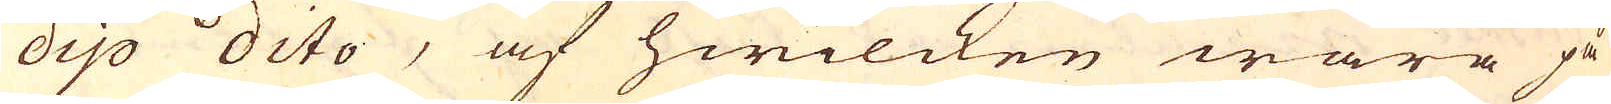dijo dito, af hwilcken wara på
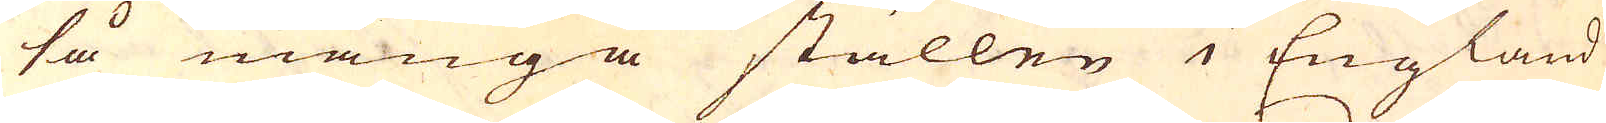så många ställen i England
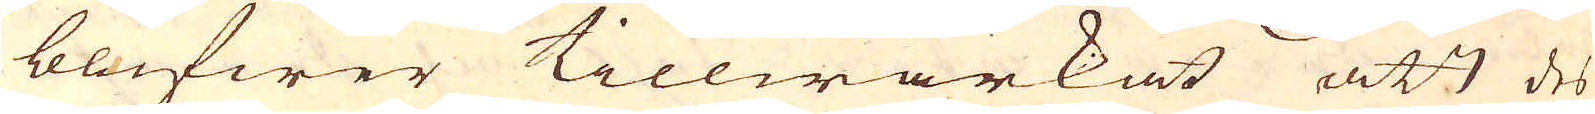blifwer tillwärkat att des
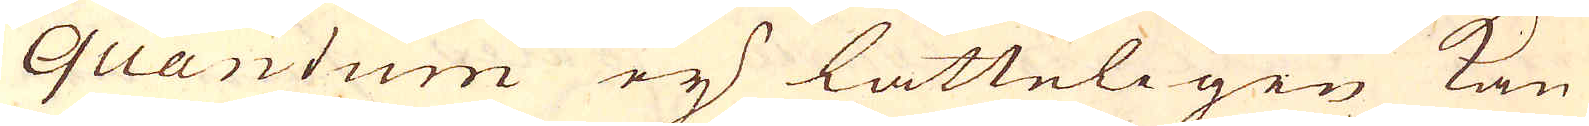quantum eij lätteligen kan
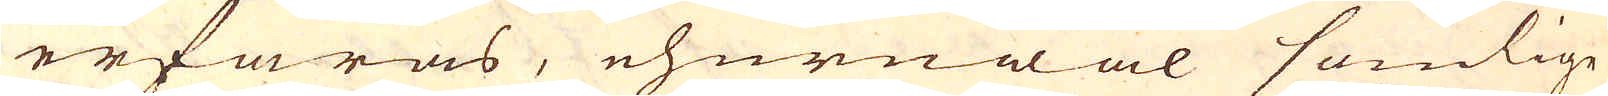erfaras, ehuruwäl somlige
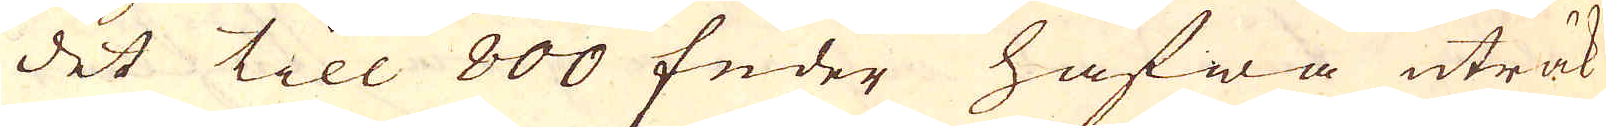det till 800 fuder hafwa uträk-
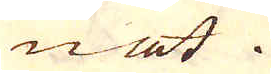nat.
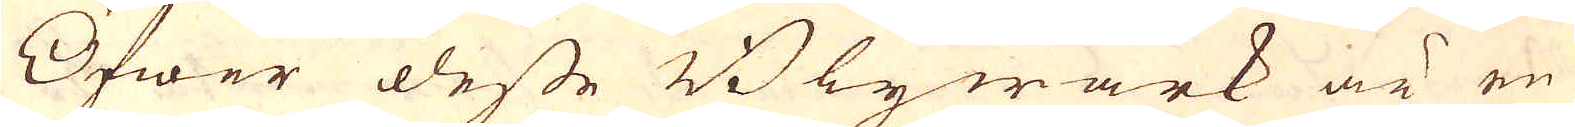Öfwer desse Blywärk är en
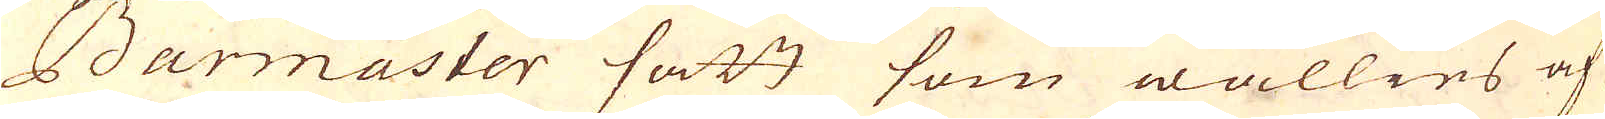Barmaster satt som wällies af
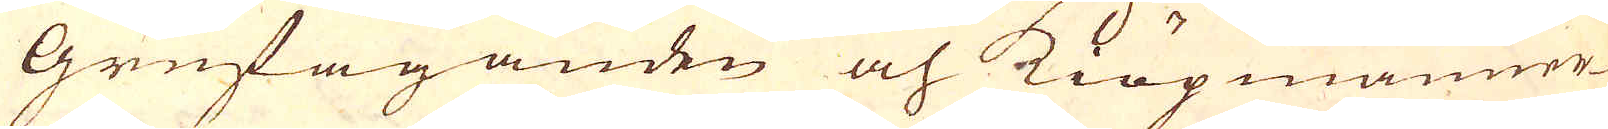Grufäganden och Kiöpmänner-
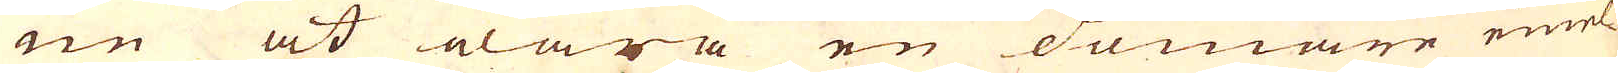ne at wara en domare emel-
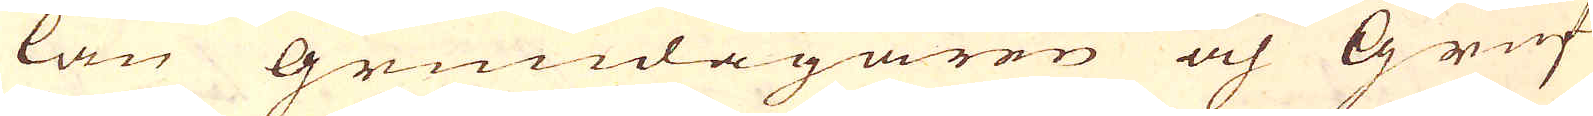lan Grundägaren och Gruf-
